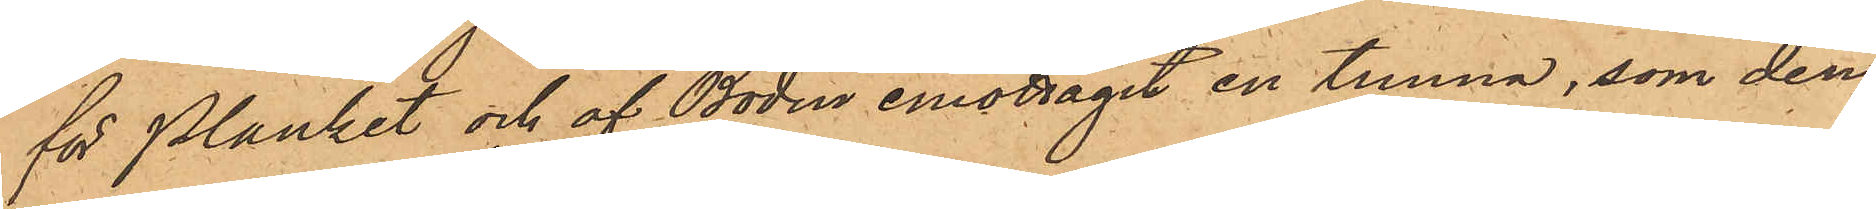för planket och af Bodin emottagit en tunna, som den¬
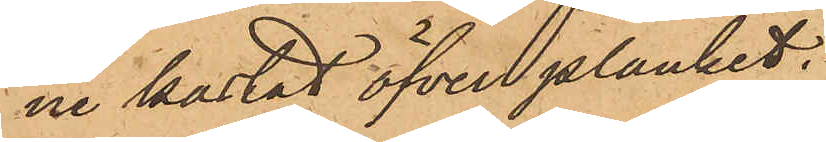ne kastat öfver planket;
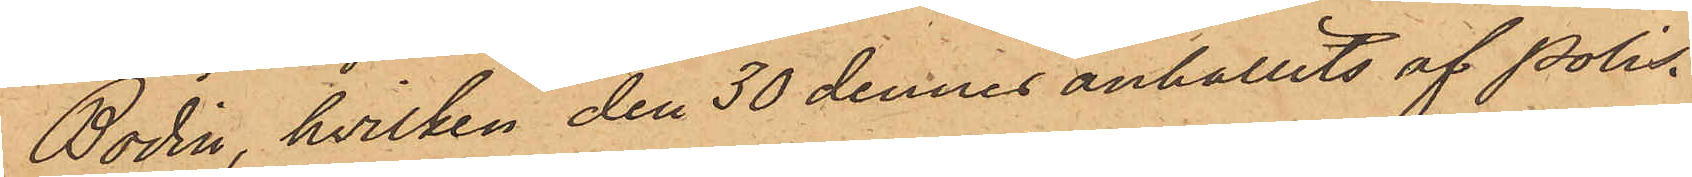Bodin, hvilken den 30 dennes anhållits af Polis¬
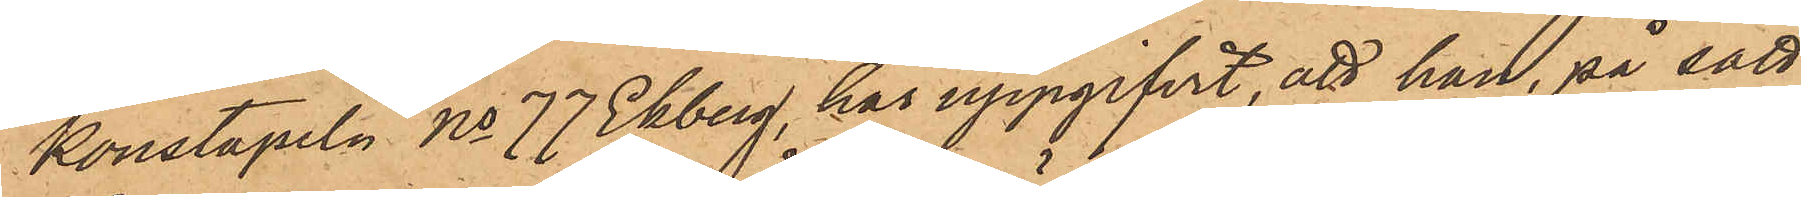konstapeln No 77 Ekberg, har uppgifvit, att han, på sätt
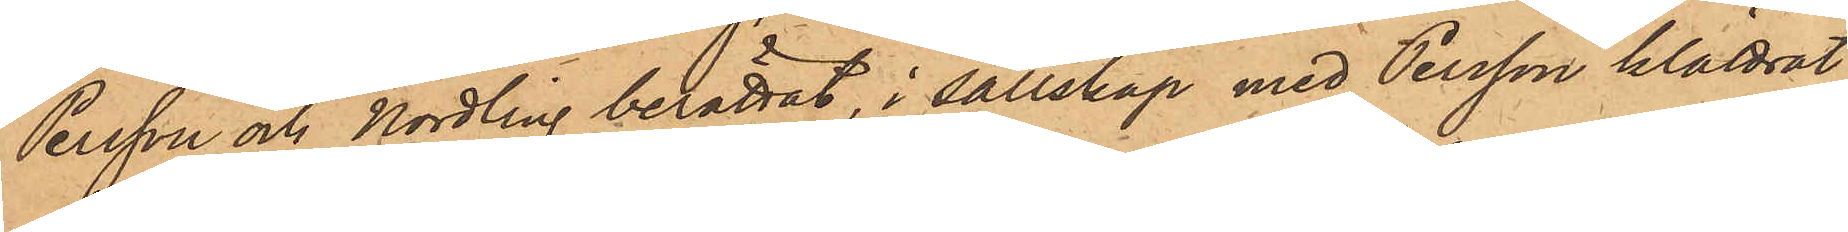Persson och Nordling berättat, i sällskap med Persson klättrat
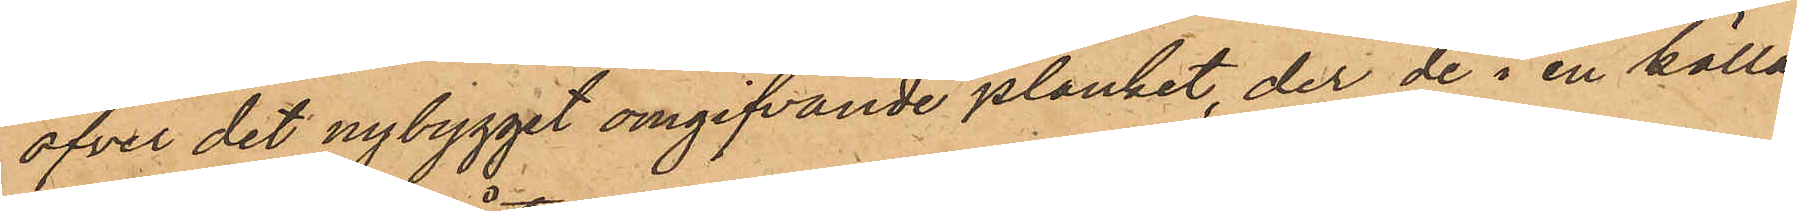öfver det nybygget omgifvande planket, der de i en källa¬
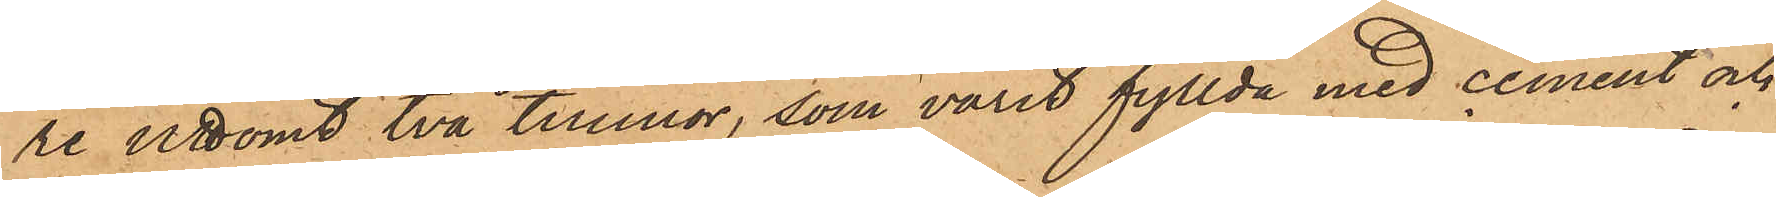re uttömt två tunnor, som varit fyllda med cement och
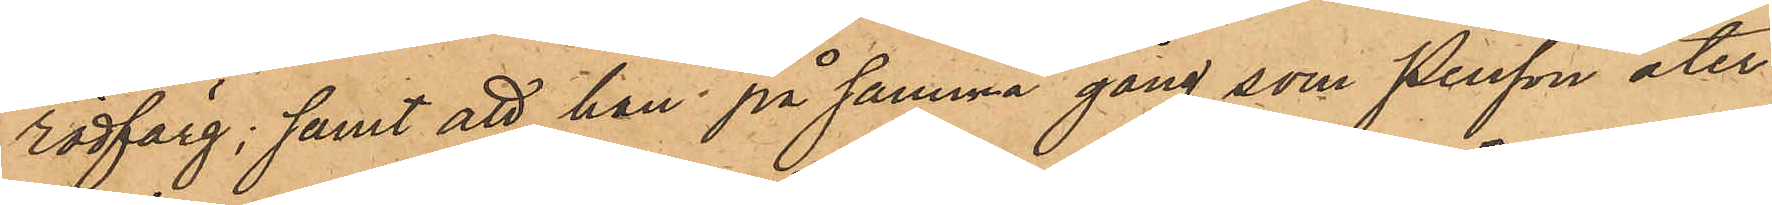rödfärg; samt att han på samma gång som Persson åter¬
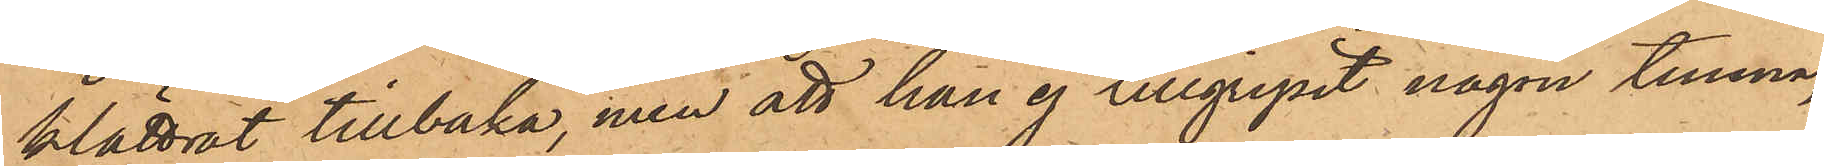klättrat tillbaka, men att han ej tillgripit någon tunna,
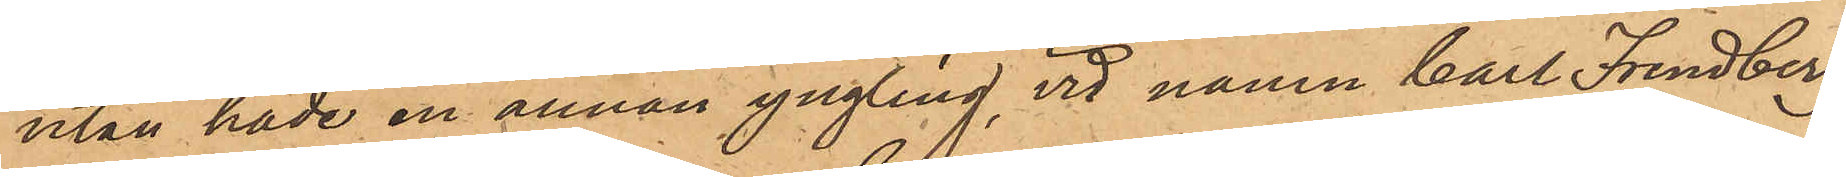utan hade en annan yngling, vid namn Carl Frendberg
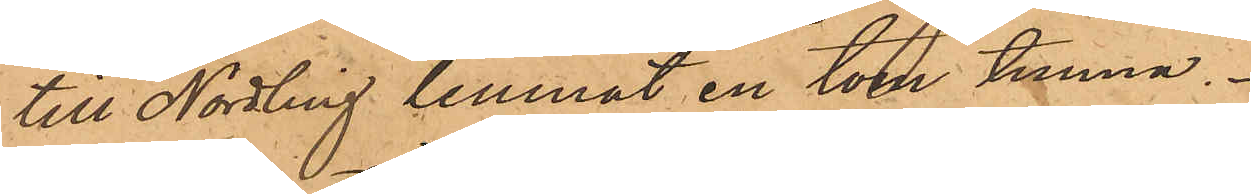till Nordling lemnat en tom tunna.
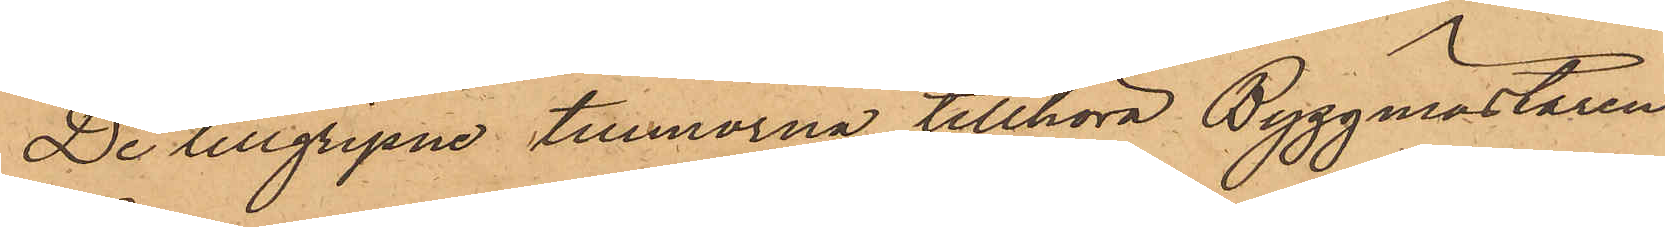De tillgripne tunnorna tillhöra Byggmästaren
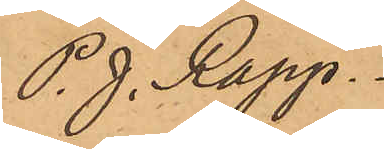P. J. Rapp.
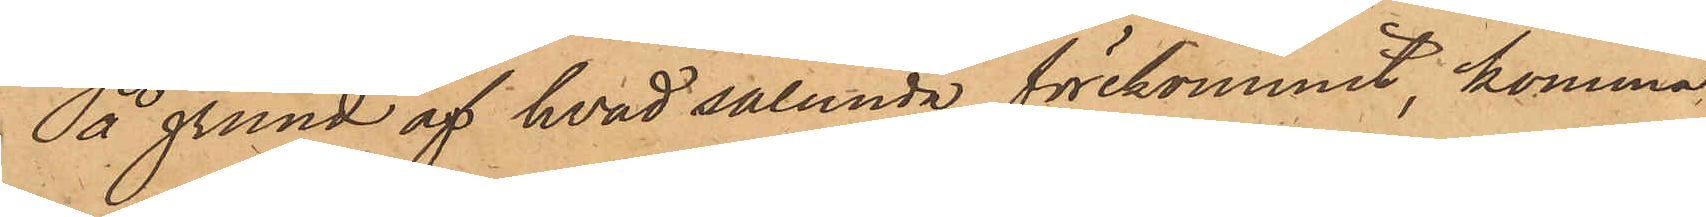På grund af hvad sålunda förekommit, komma
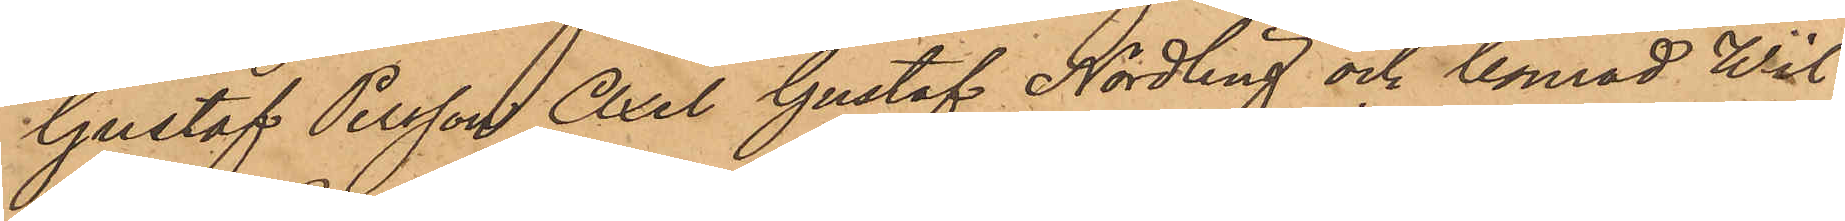Gustaf Persson, Axel Gustaf Nordling och Conrad Wil¬
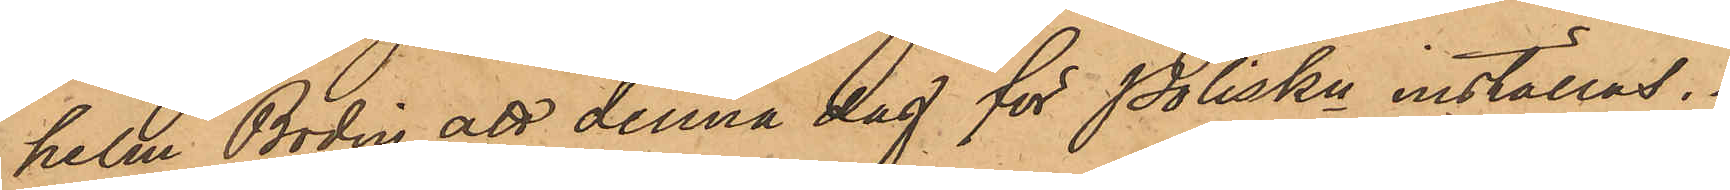helm Bodin att denna dag för Poliskn inställas.
